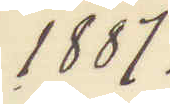1887.
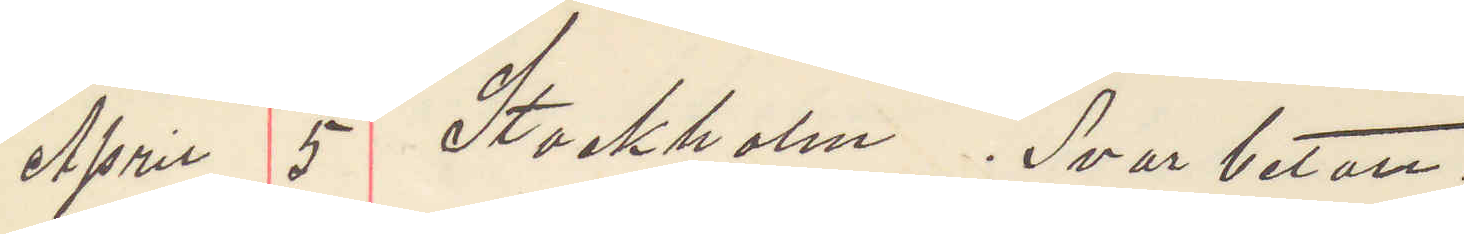April 5 Stockholm. Svar betalt.
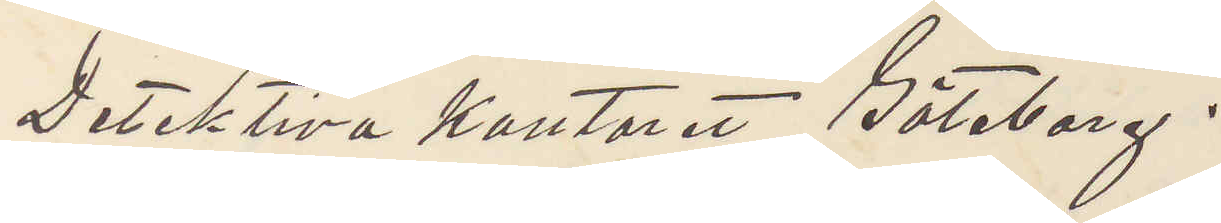Detektiva kontoret Göteborg.
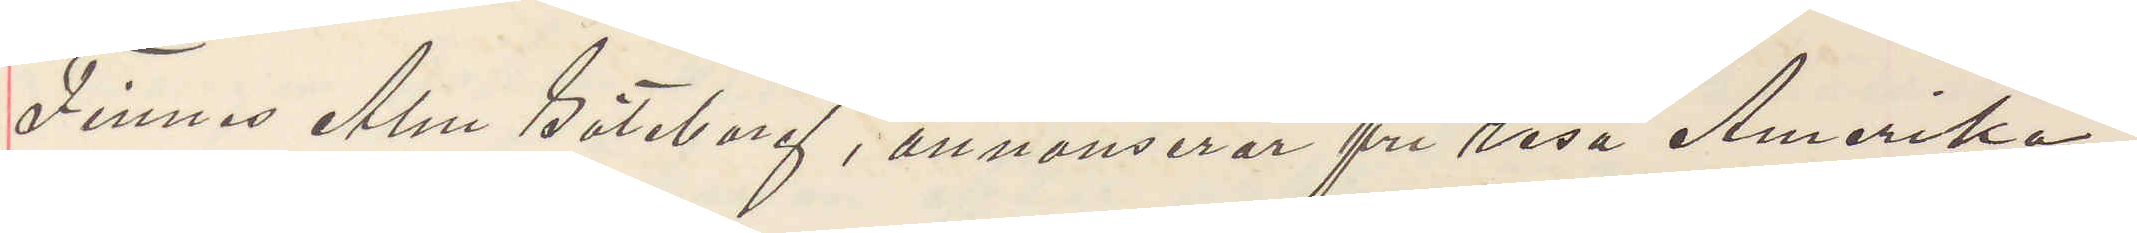Finnes Alm Göteborg, annonserar fri resa Amerika,
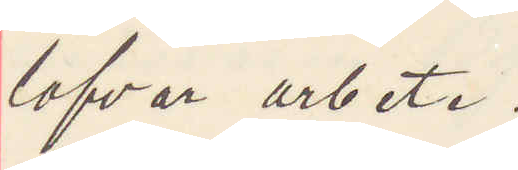lofvar arbete.
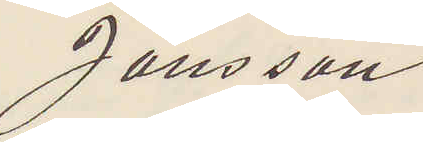Jansson
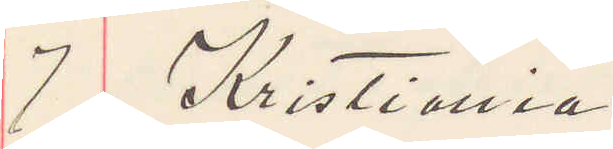9 Kristiania
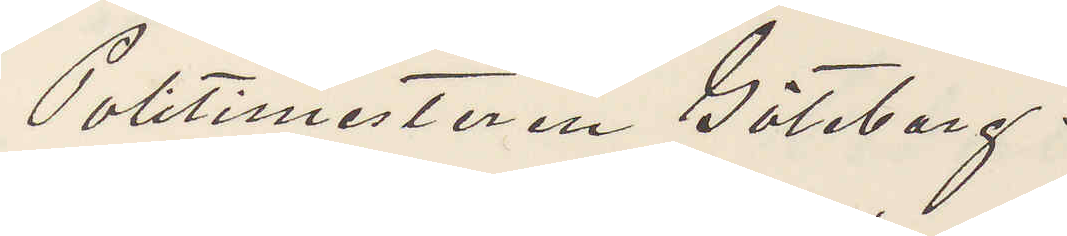Politimesteren Göteborg.
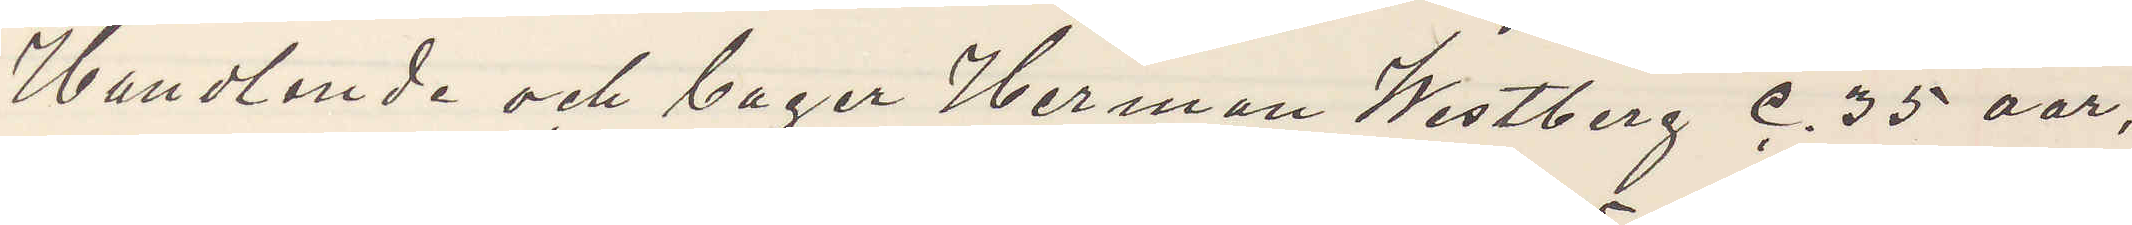Handlande och bager Herman Westberg c. 35 aar,
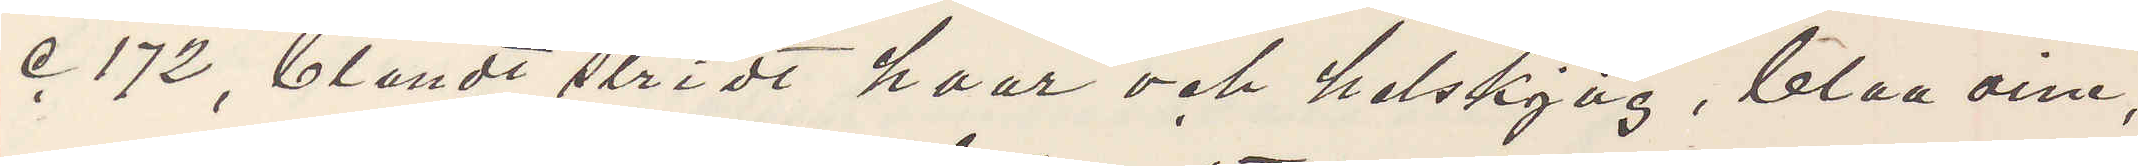c 172, blondt stridt haar och helskjäg, blaa oine,
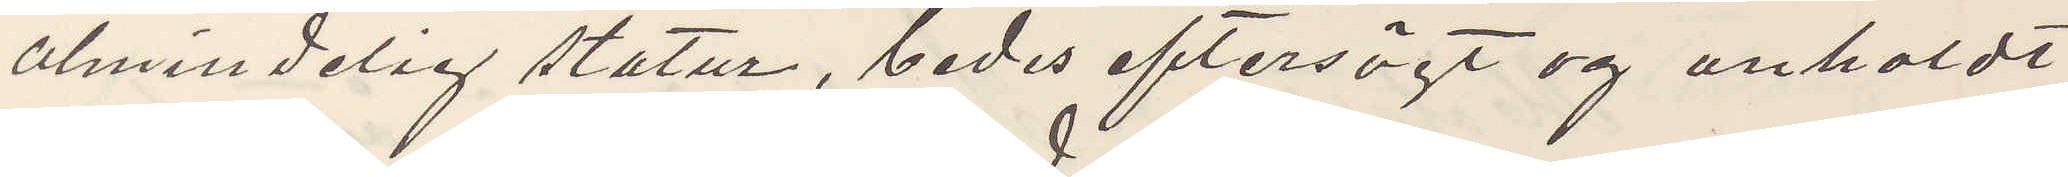almindelig statur, bedes eftersögt og anholdt
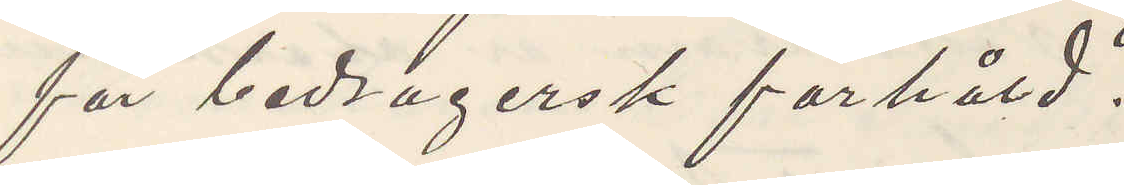för bedragersk farhåld.
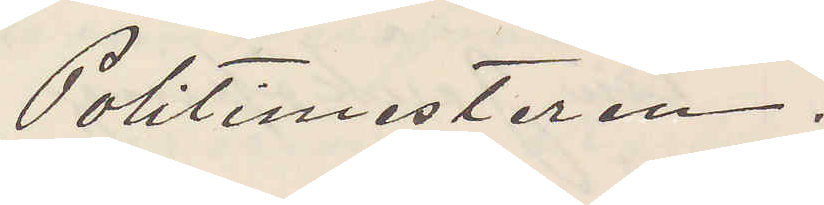Politimesteren.
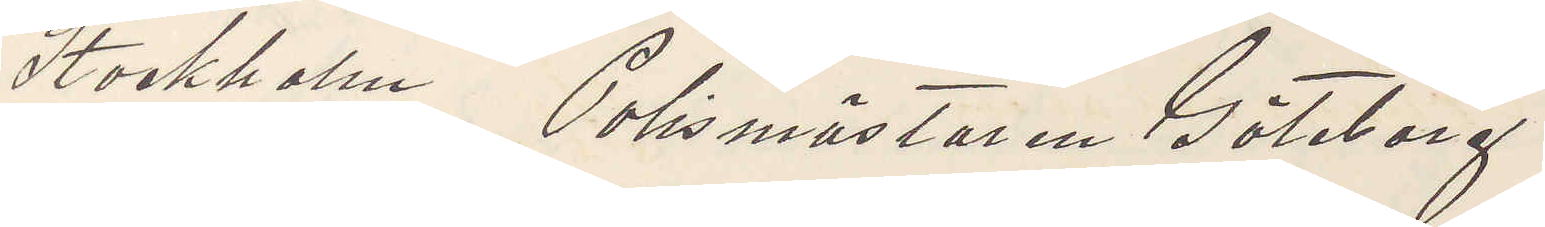Stockholm Polismästaren Göteborg
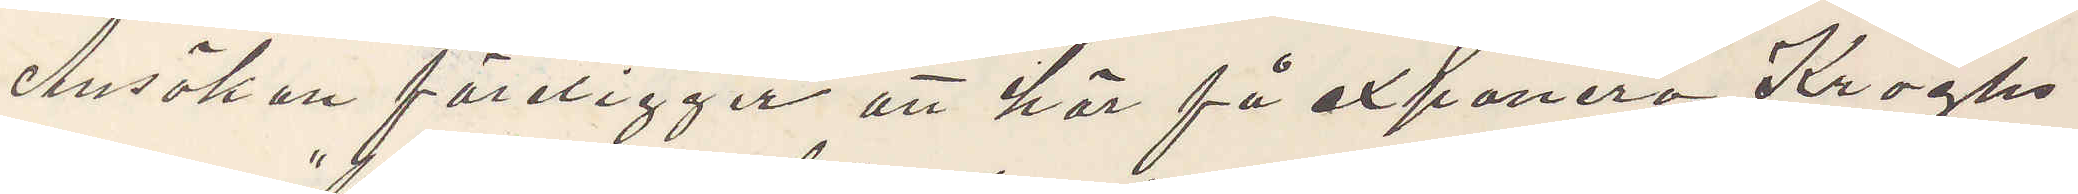Ansökan föreligger att här få exponera Kroghs
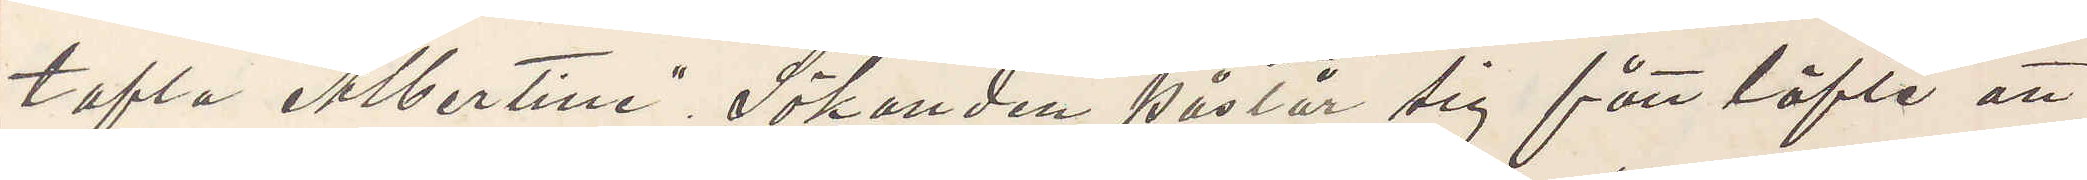tafla "Albertine". Sökanden påstår sig fått löfte att
